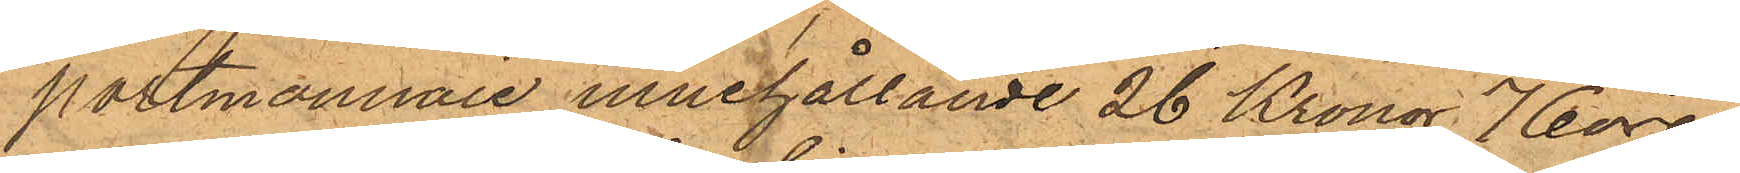portmonnaie innehållande 26 Kronor 76 öre,
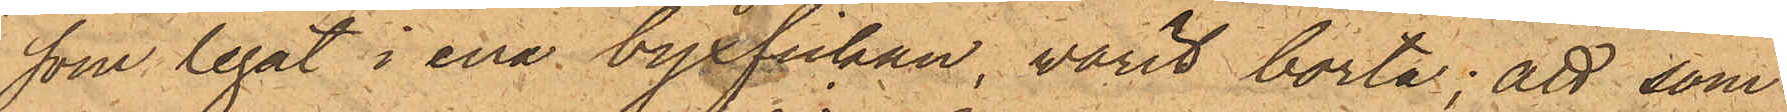som legat i ena byxfickan, varit borta; att som
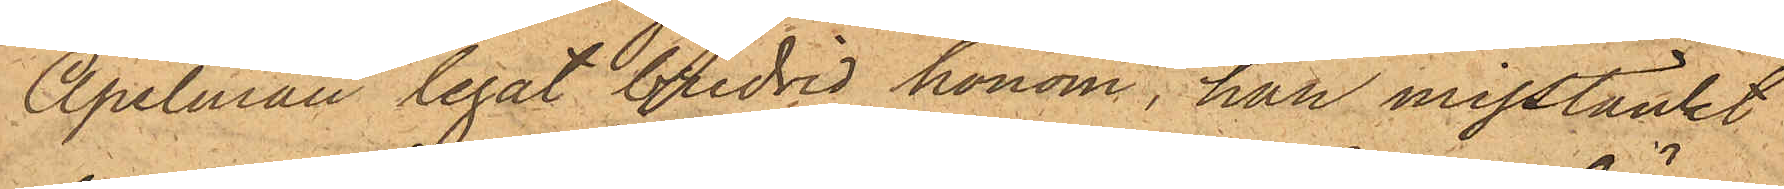Apelman legat bredvid honom, han misstänkt
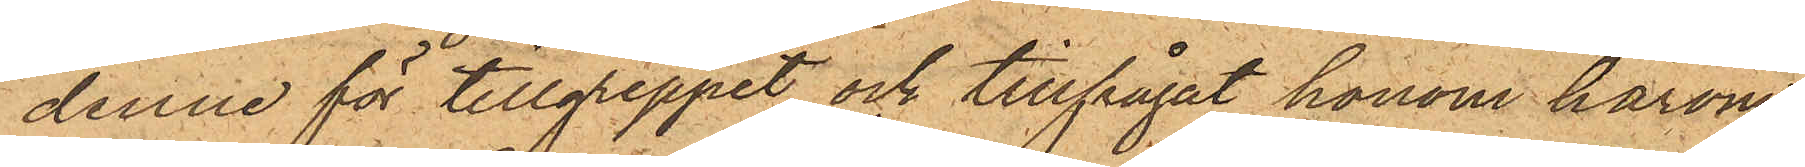denne för tillgreppet och tillfrågat honom härom,
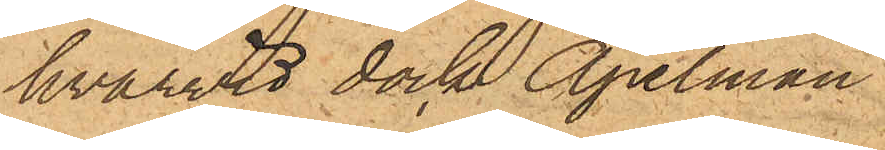hvarvid dock Apelman
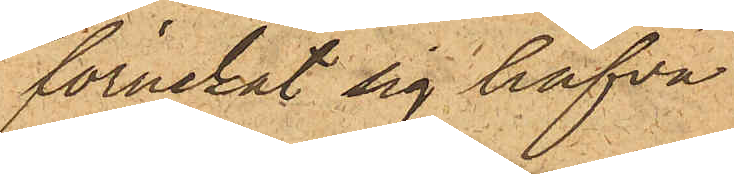förnekat sig hafva
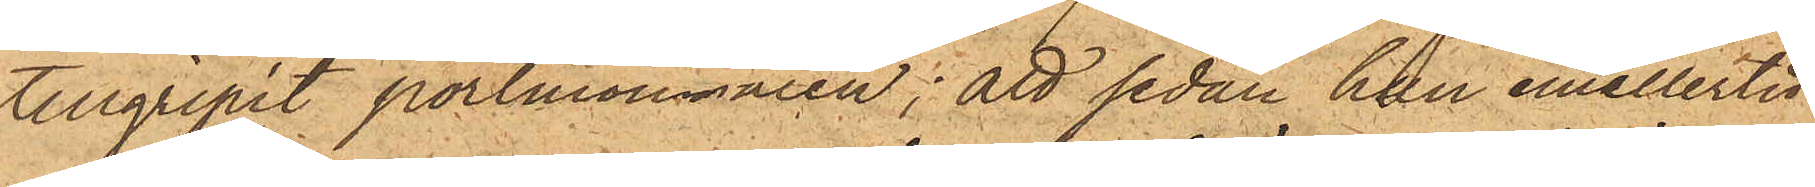tillgripit portmonnaien; att sedan han emellertid
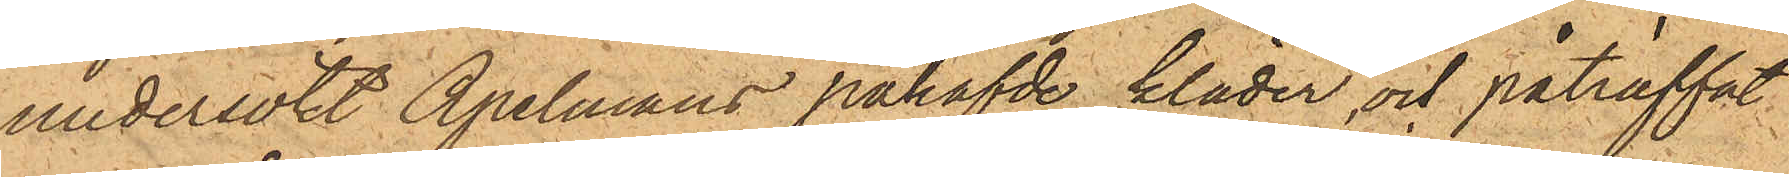undersökt Apelmans påhafvde kläder och påträffat
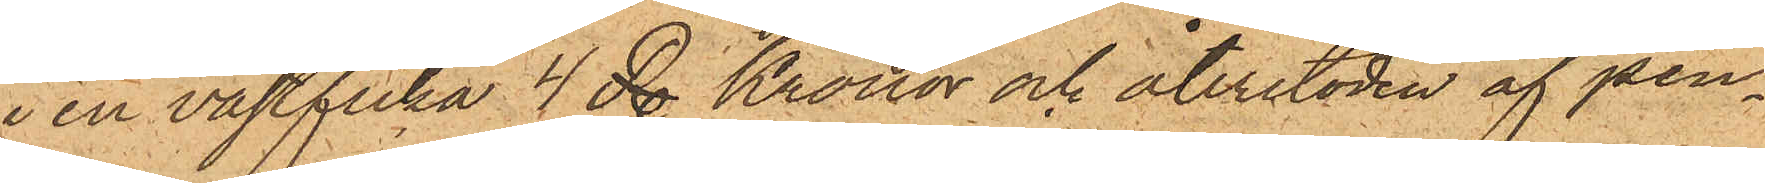i en västficka 4 Rdr Kronor och återstoden af pen¬
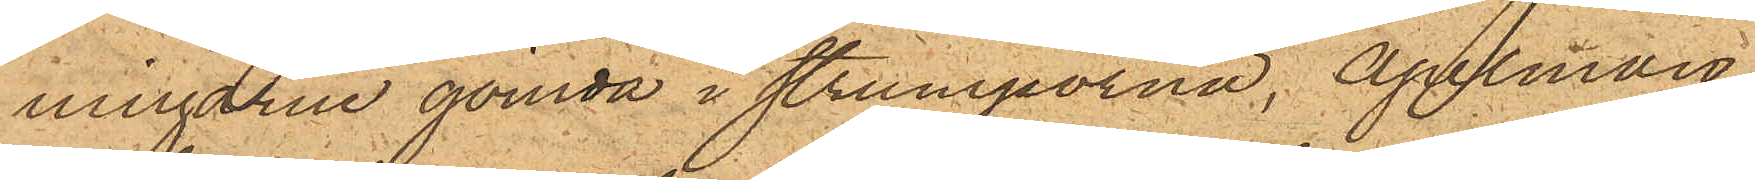ningarne gömda i strumporna, Apelman
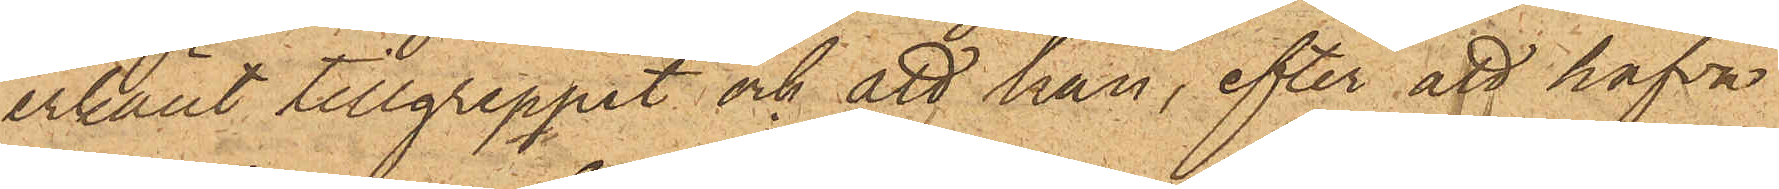erkänt tillgreppet och att han, efter att hafva
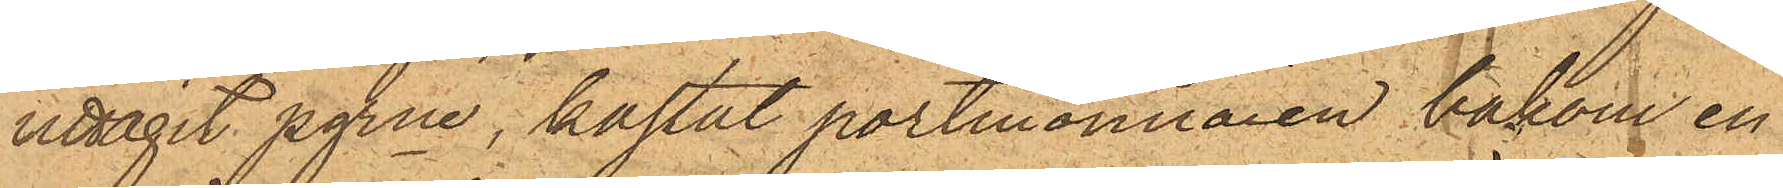uttagit pgrne, kastat portmonnaien bakom en
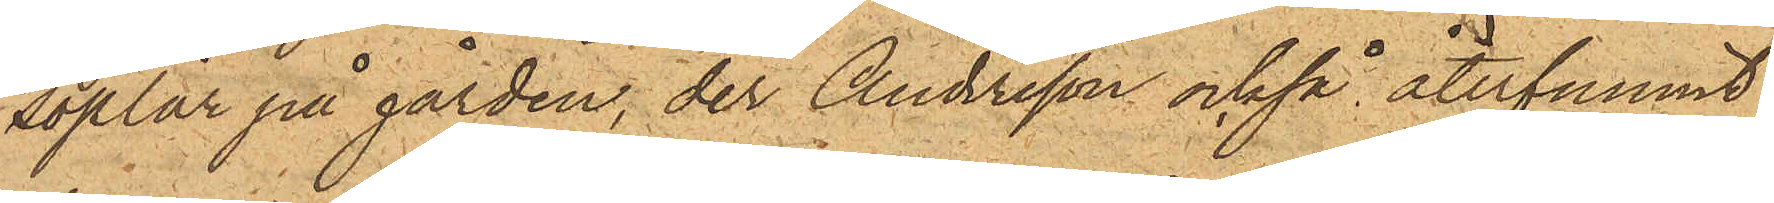soplår på gården, der Andersson också återfunnit
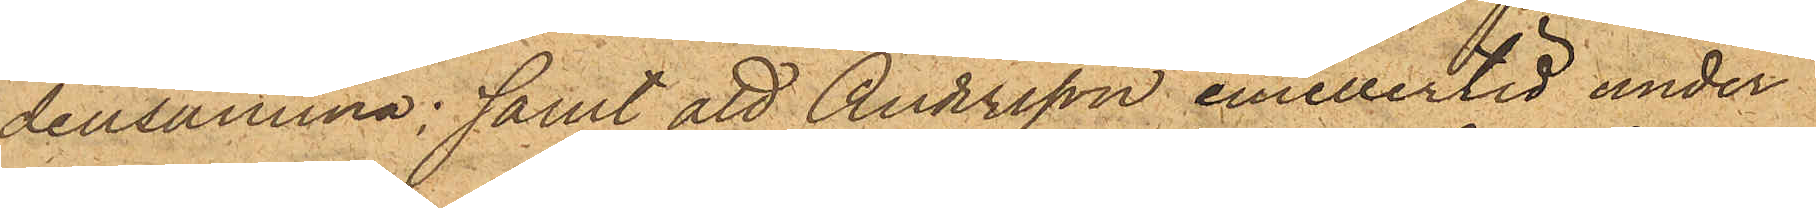densamma; samt att Andersson emellertid under
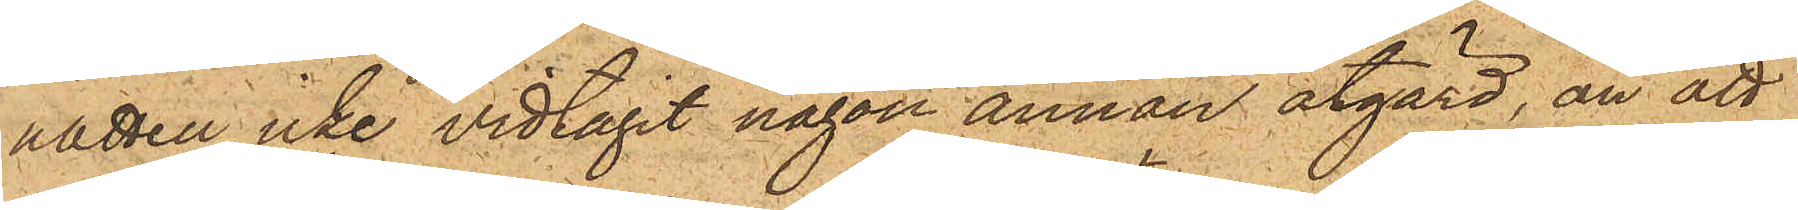natten icke vidtagit någon annan åtgärd, än att
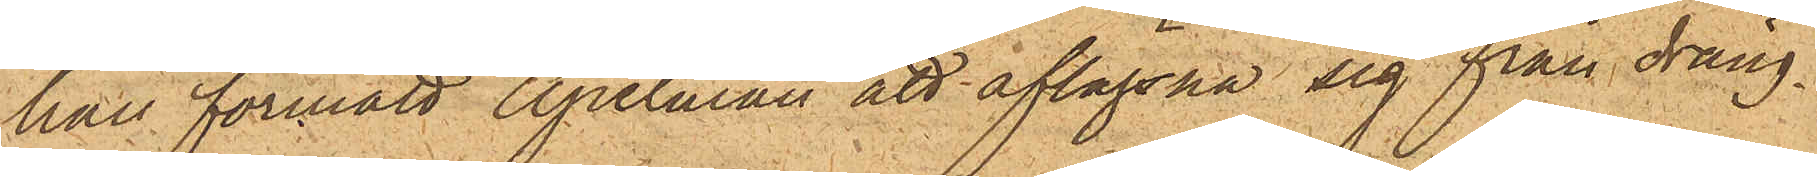han förmått Apelman att aflägsna sig från dräng¬
